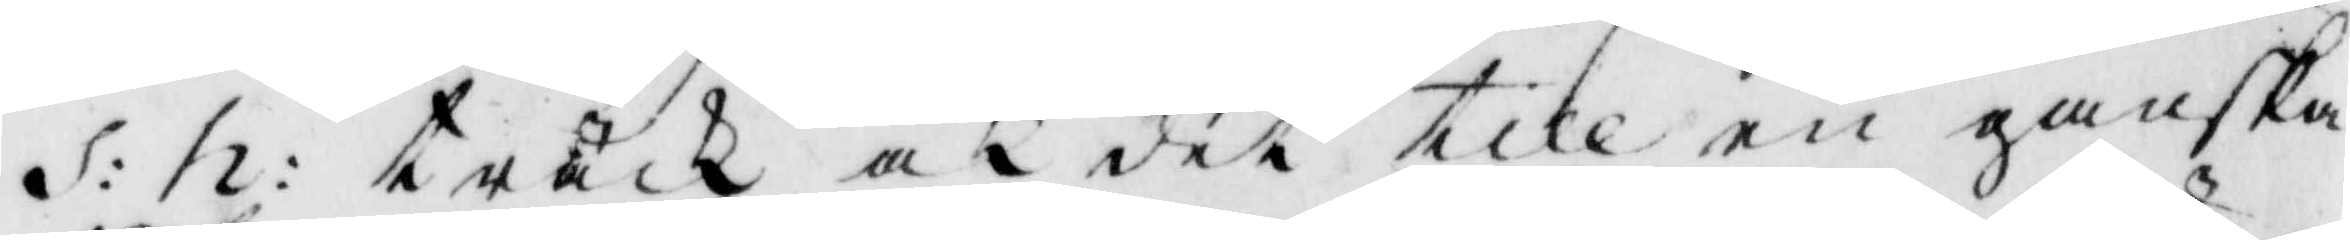S: h: träck och det till en ganska
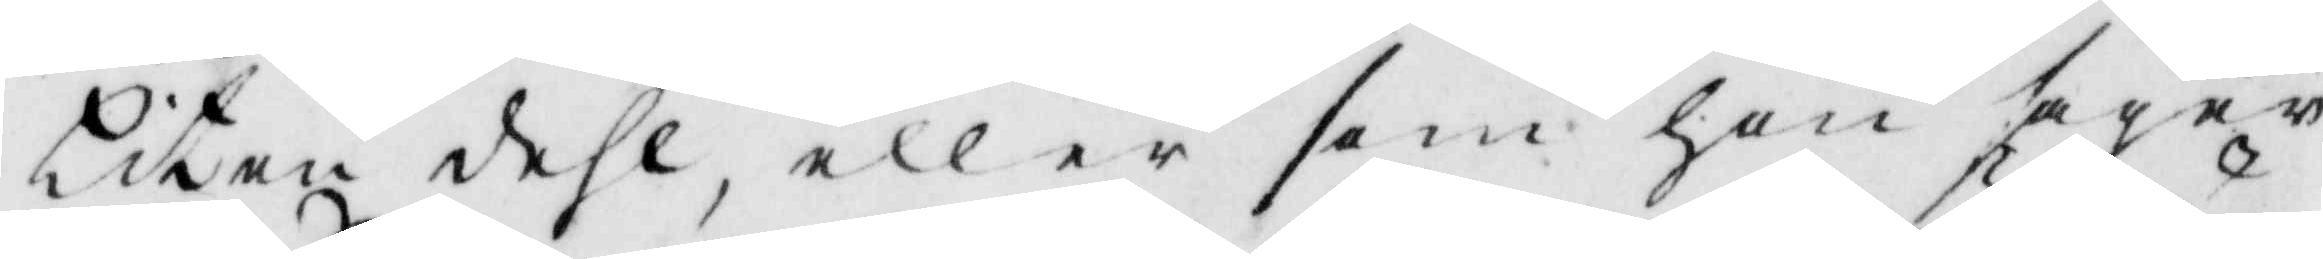liten dehl, eller som hon säger
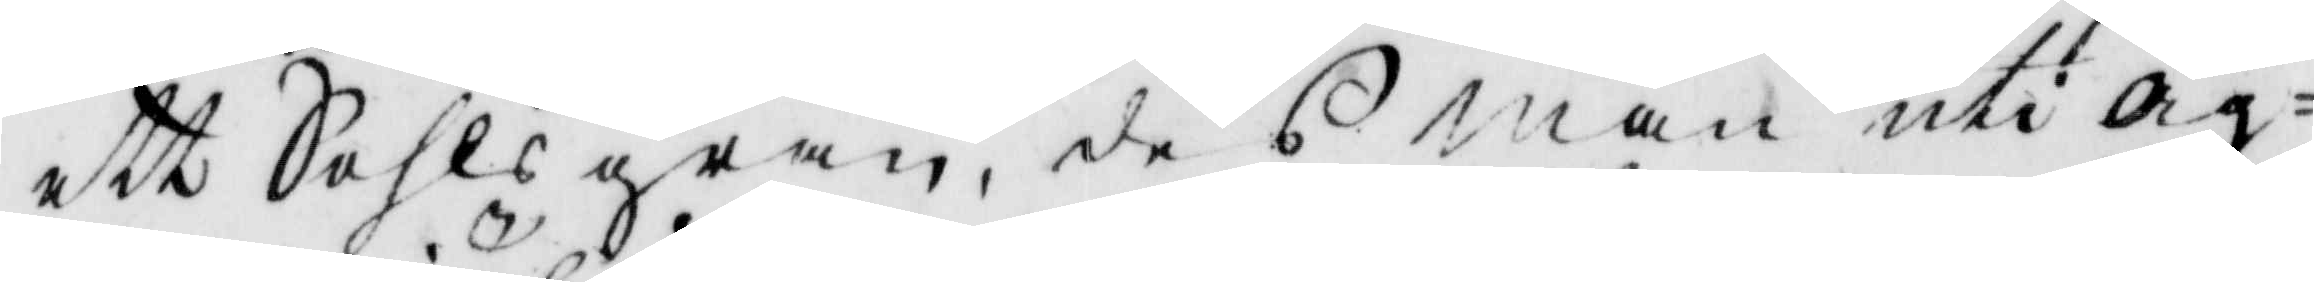ett Sahlsgram, des man uti äg¬
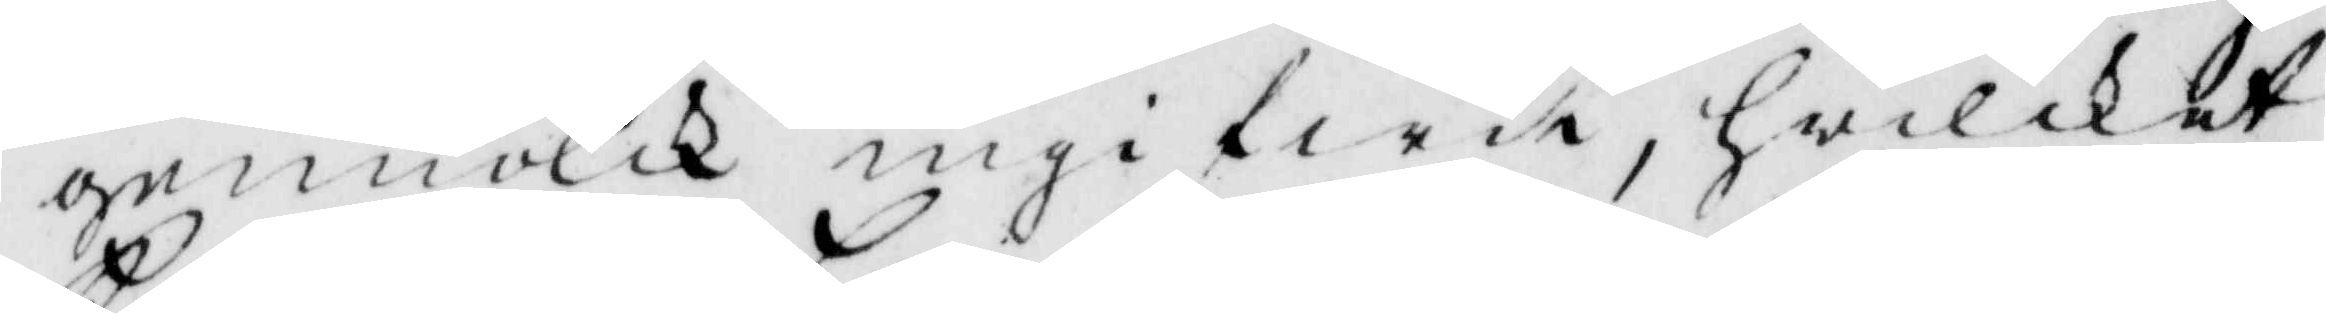gemiölk ingifwit, hwilket
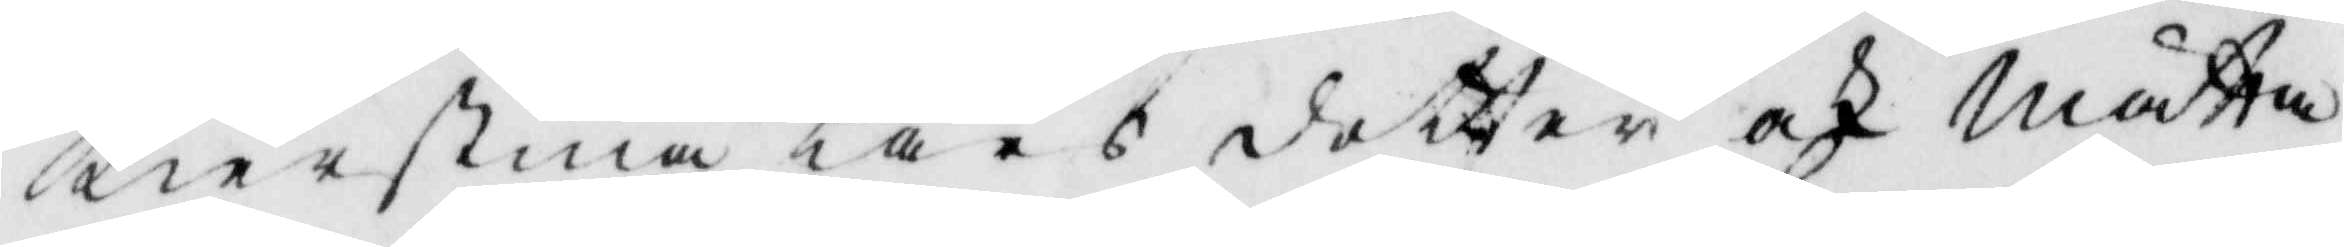Kierstina Lars dotter och Mätta
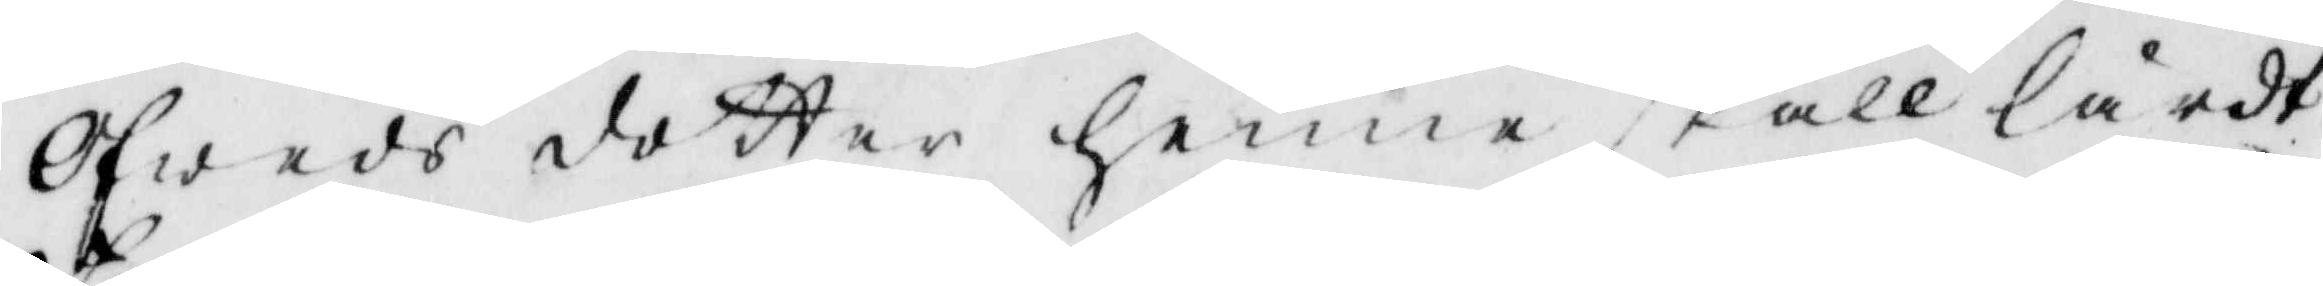Ofweds dotter henne skall lärdt.
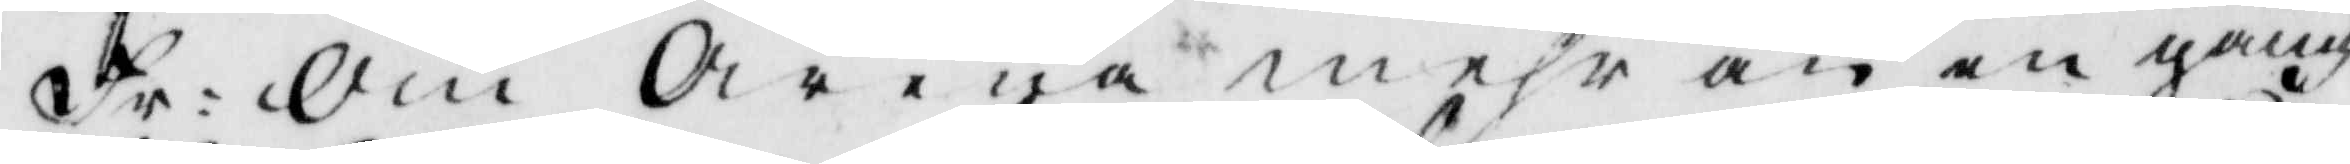Fr: Om Arena mehr än en gång
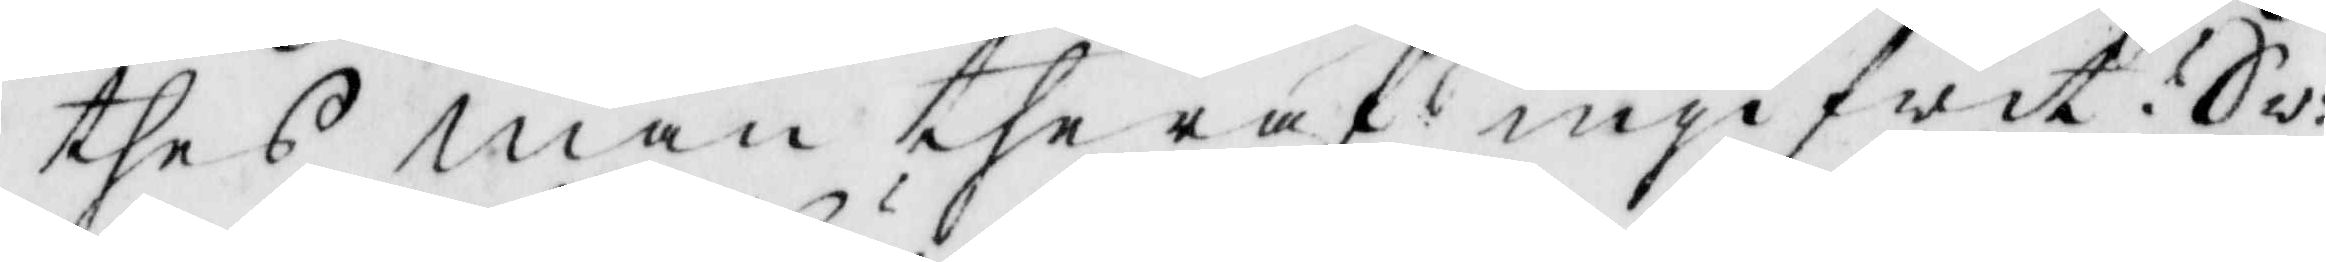thes man theraf ingifwit? Sw:
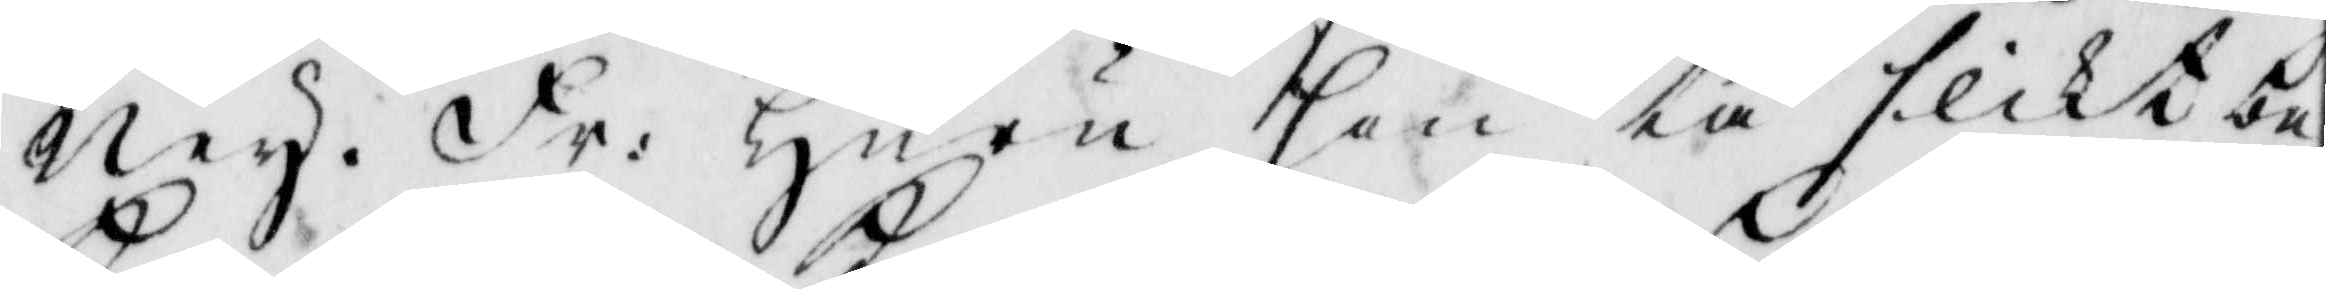ney. Fr: Huru hon tå slikt be¬
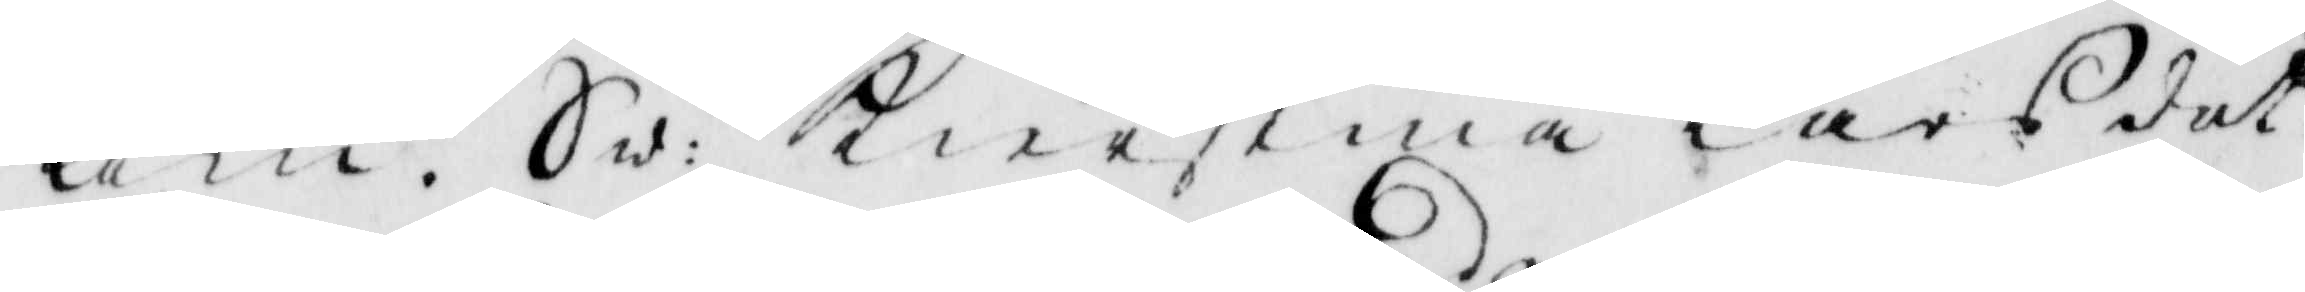kom? Sw: Kierstina Larsdot¬
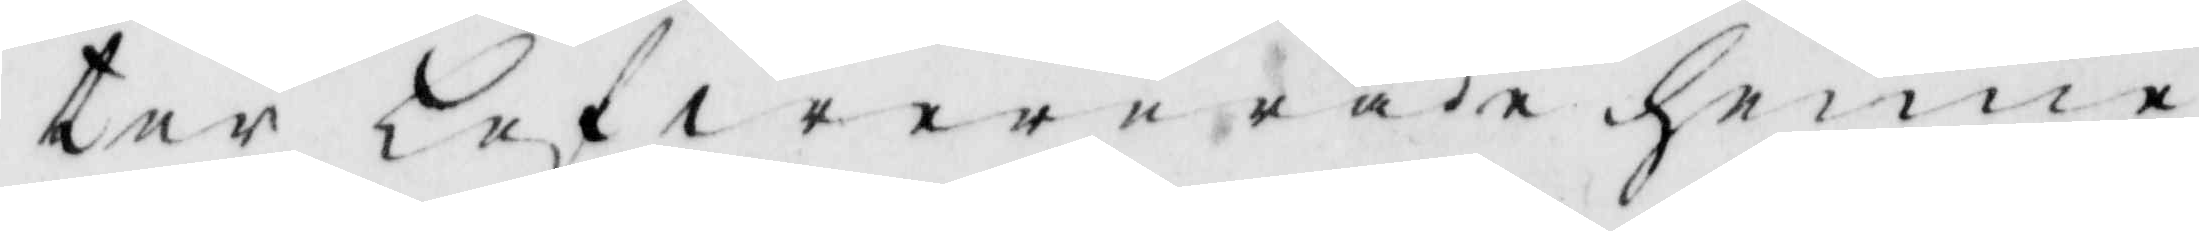ter lefwererade henne
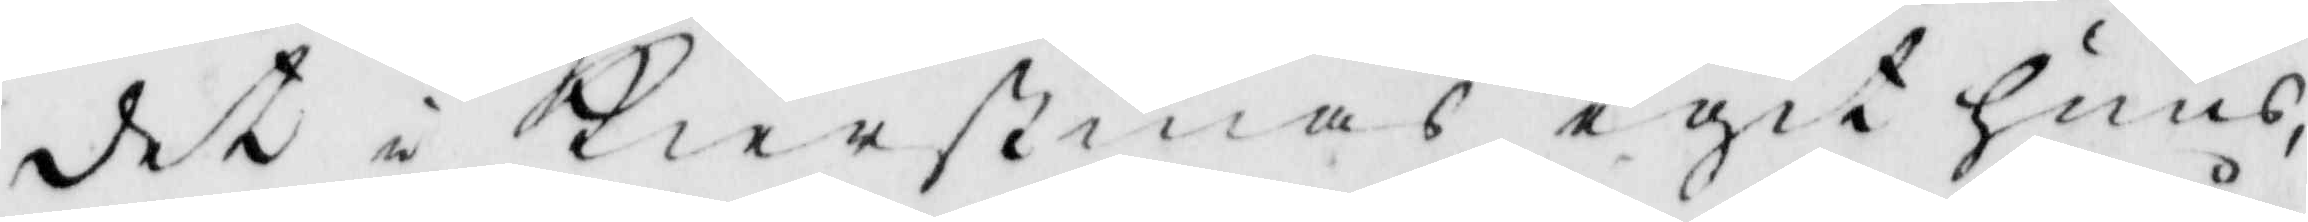det i Kierstinas egit huus,
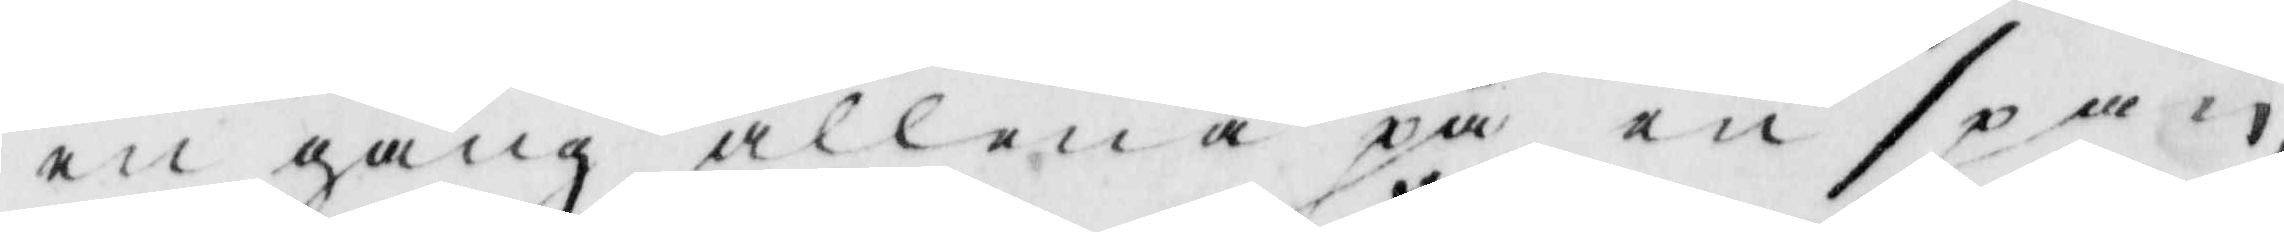en gång allena på en spån,
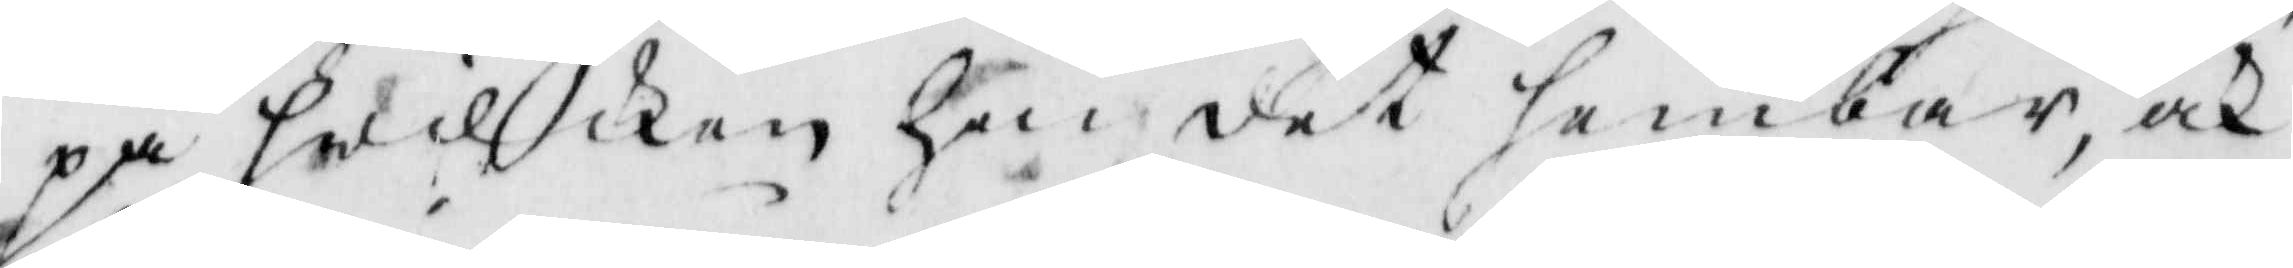på hwilken hon det hembar, och
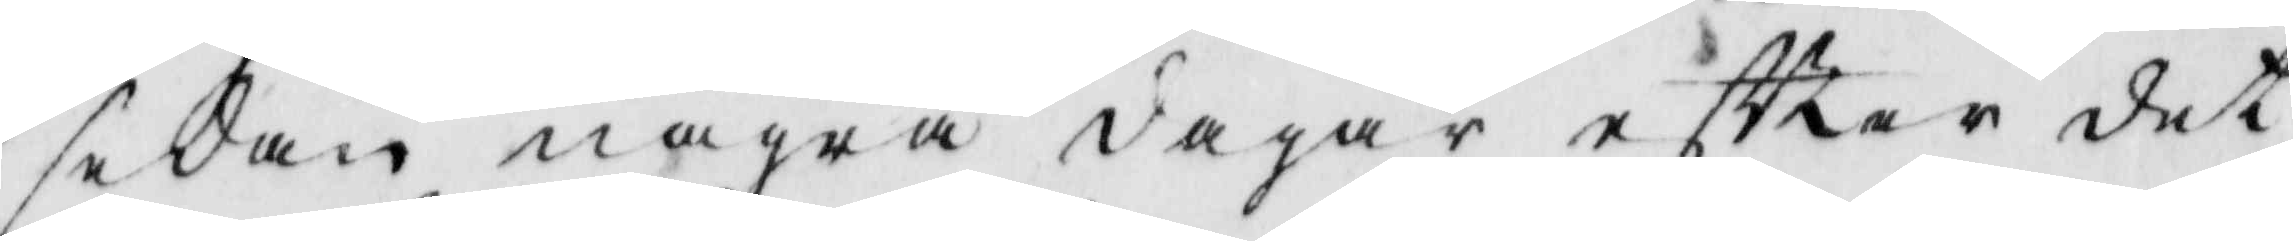sedan några dagar eftter det
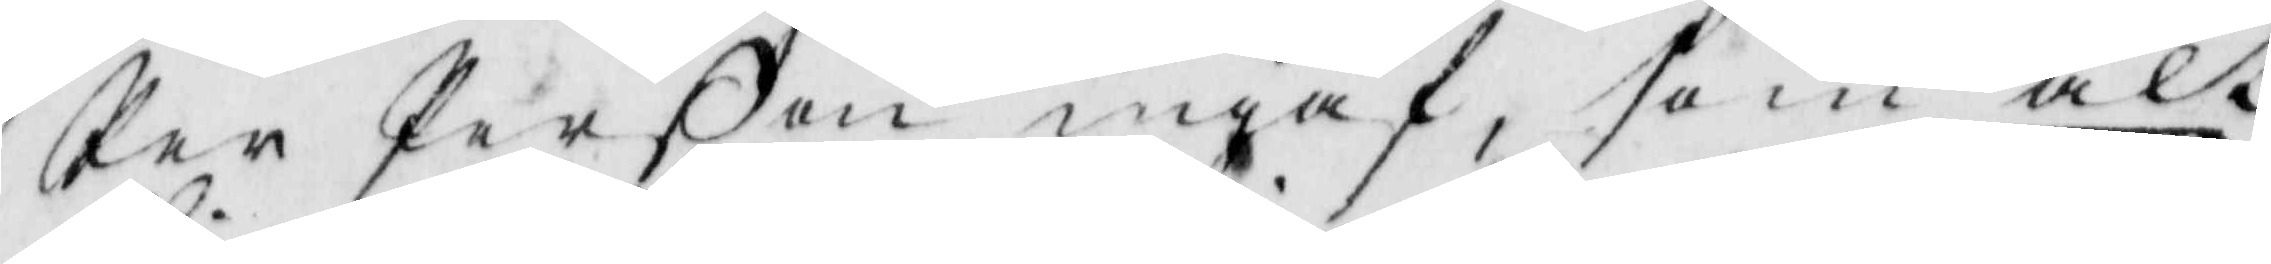Per Perßon ingaf som alt
